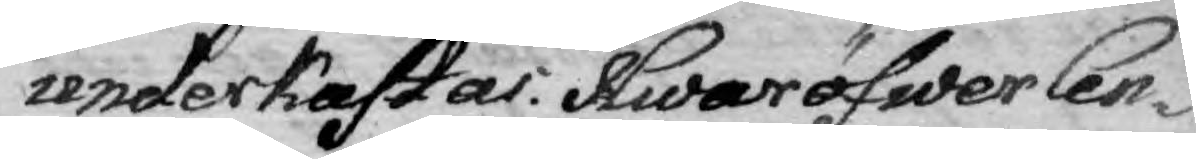underkastas. Hwaröfwer Cen¬
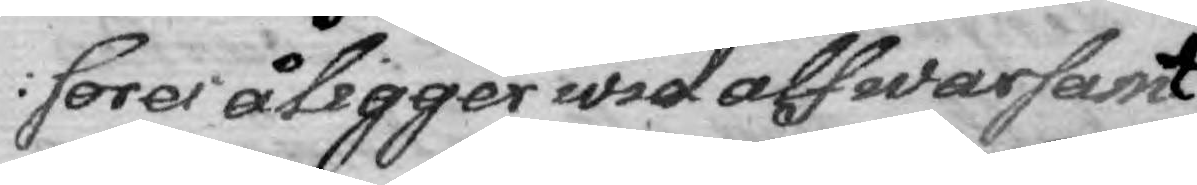sores åligger wid wid alfwarsamt
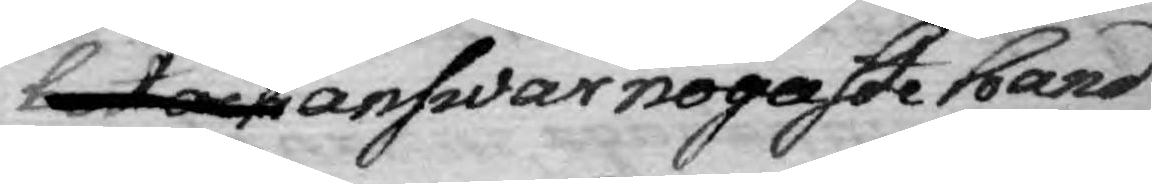het och answar nogaste hand
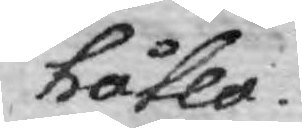hålla.
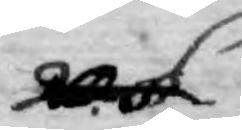20. §. 
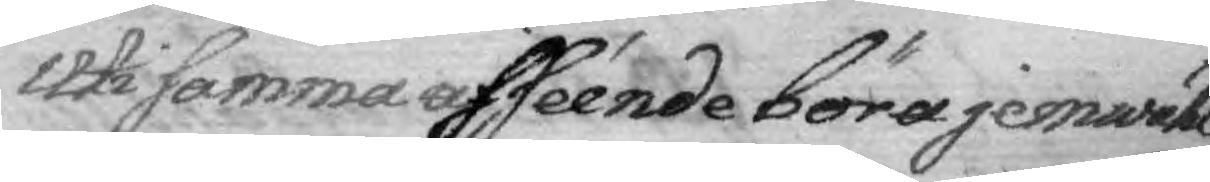Uti samma afséende böra jemwähl
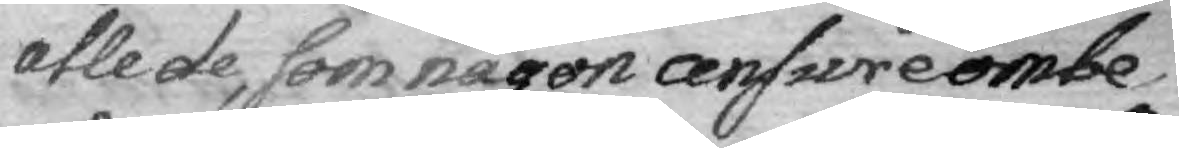alla de, som någon answre ombe¬
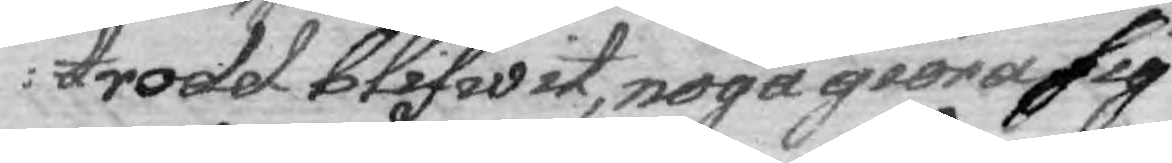trodd blifwit, noga giöra sig 
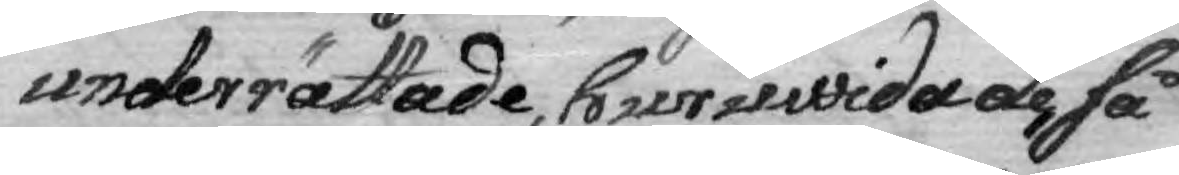underrättade, huruwida de, så
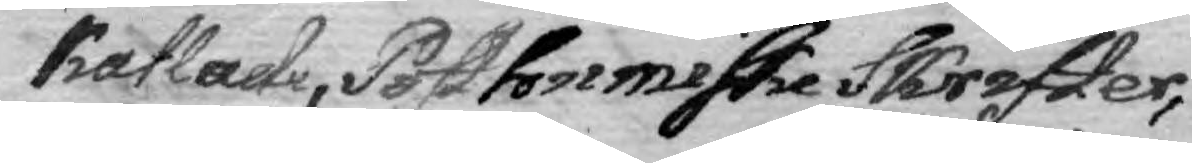kallade, Posthumiske Skrifter,
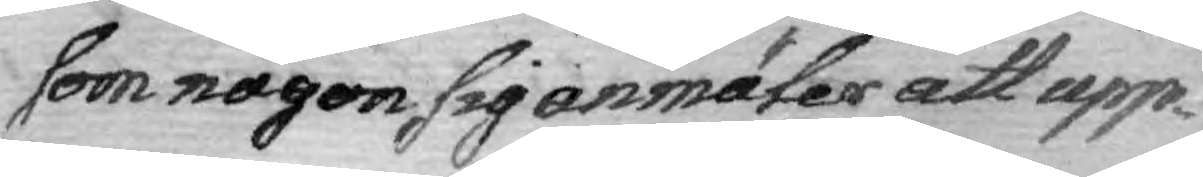som någon sig anmäler att upp¬
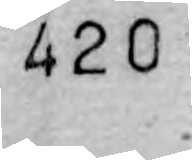420
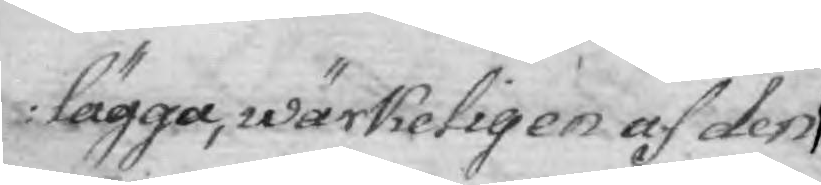lägga, wärkeligen af den
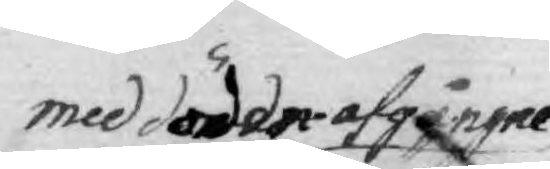med döden afgångne
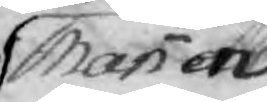Mannen
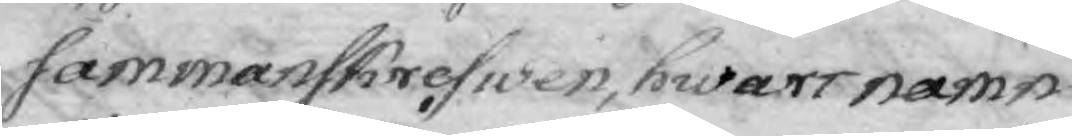Sammanskrefwen, hwars namn
